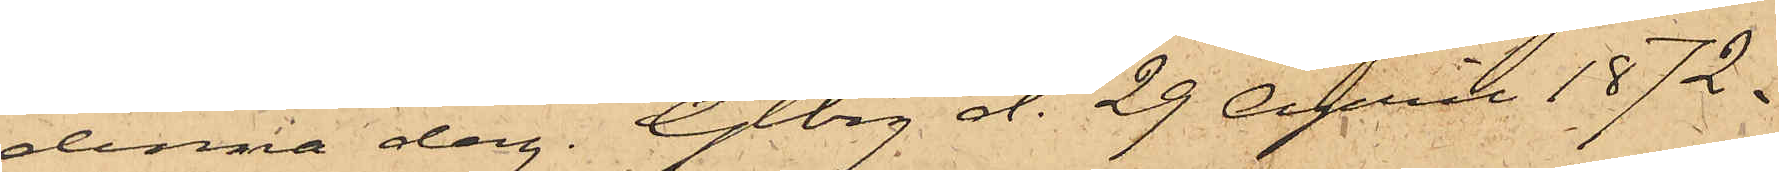denna dag. Gtbrg d. 29 April 1872.
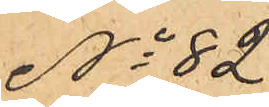No 82
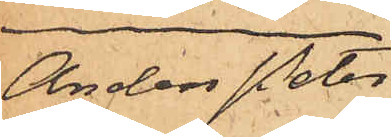Anders Peter
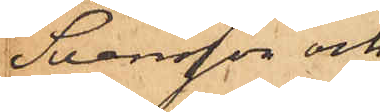Svensson och
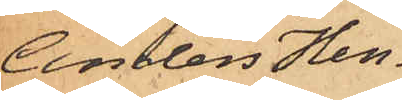Anders Hen¬
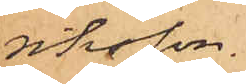riksson.
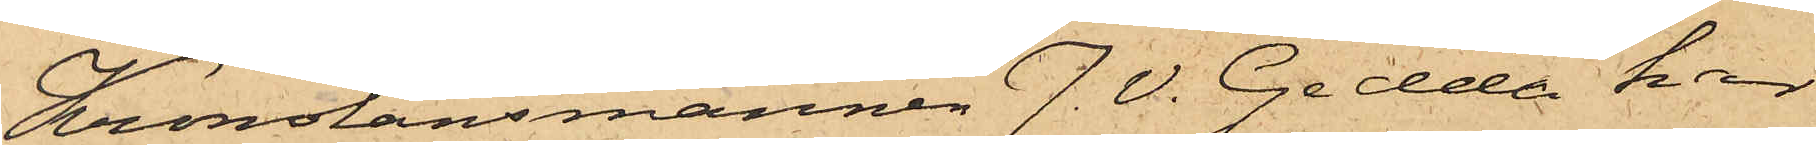Kronolänsmannen J. V. Gedda har
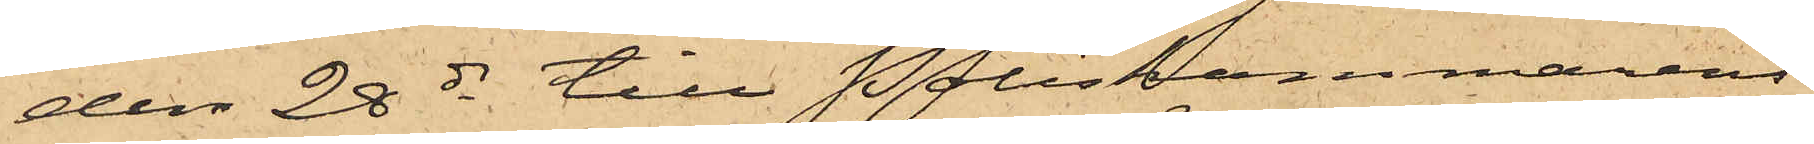den 22 ds till Poliskammarens
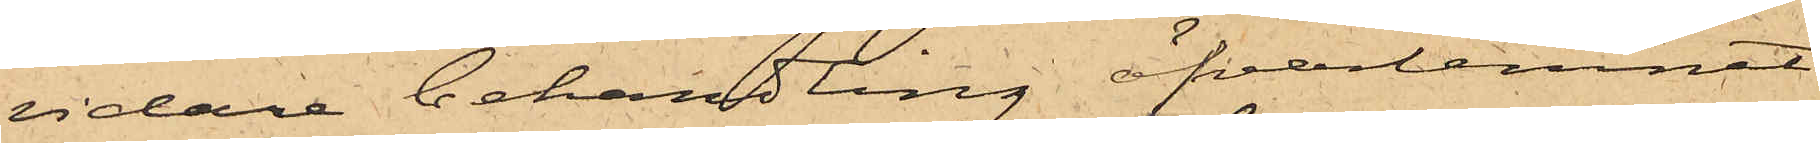vidare behandling öfverlemnat
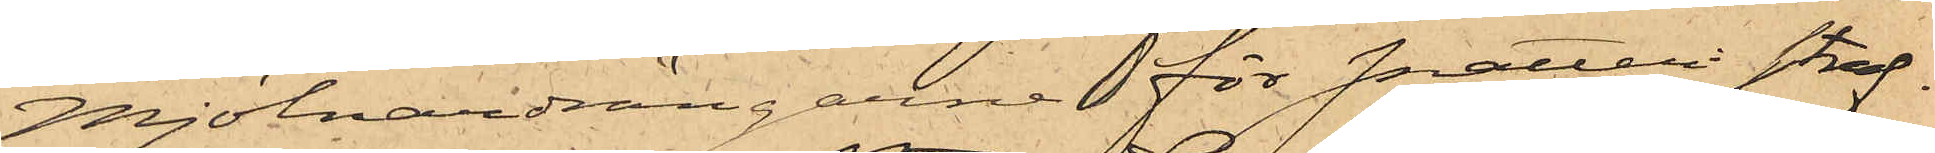mjölnardrängarne för snatteri straf¬
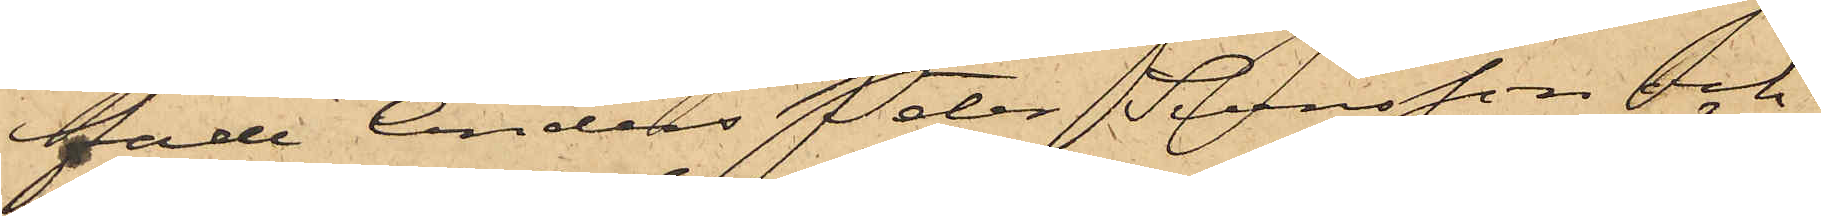fade Anders Peter Svensson och
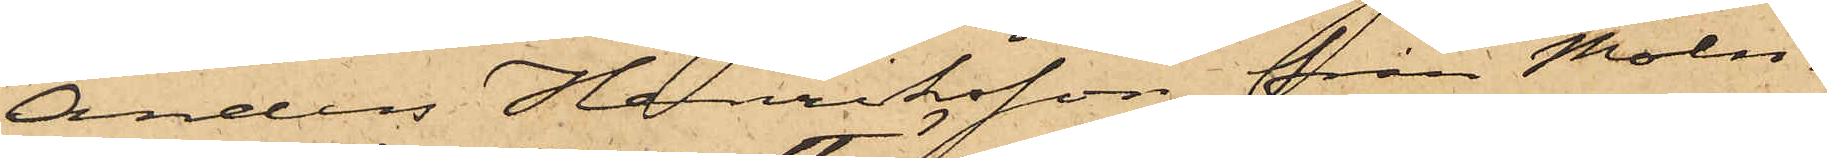Anders Henriksson från Möln¬
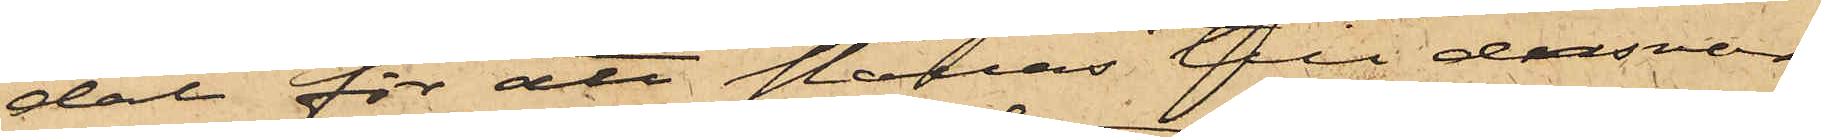dal för att ställas till ansvar
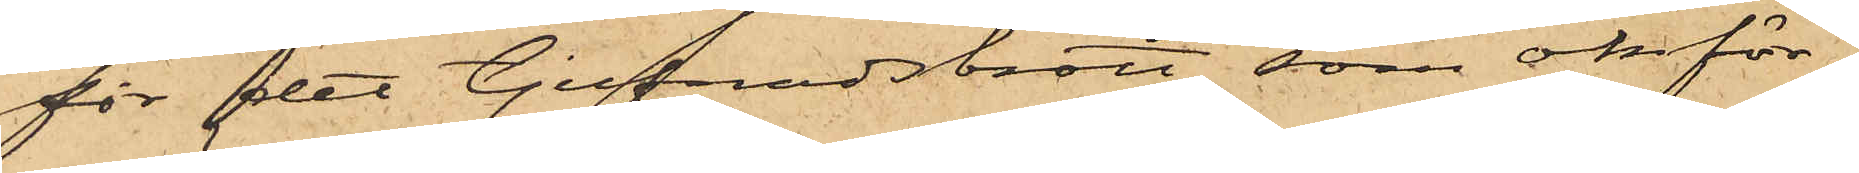för det tjufnadsbrott, som omför¬
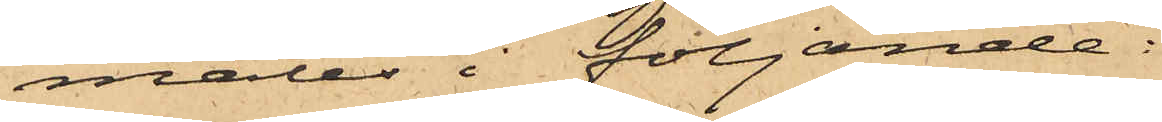mäles i följande:
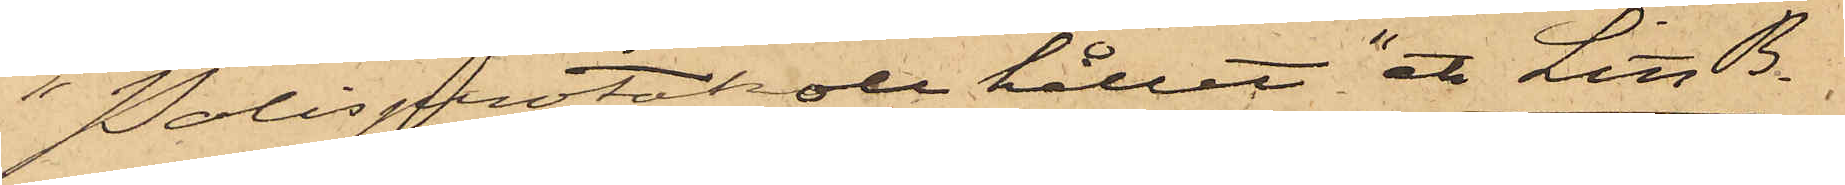"Polisprotokoll hållet" etc Litt B.
